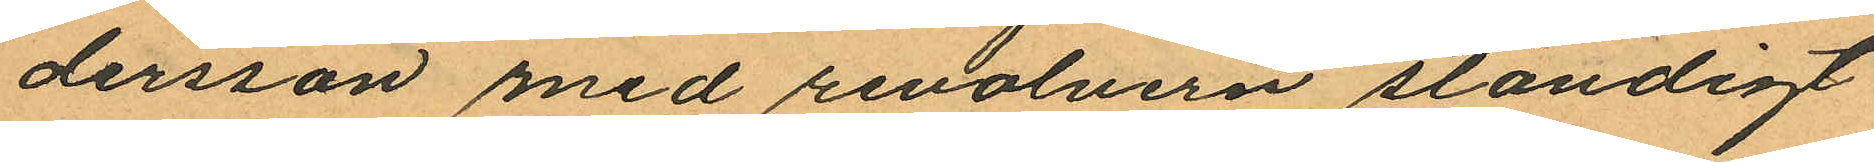dersson med revolvern ständigt
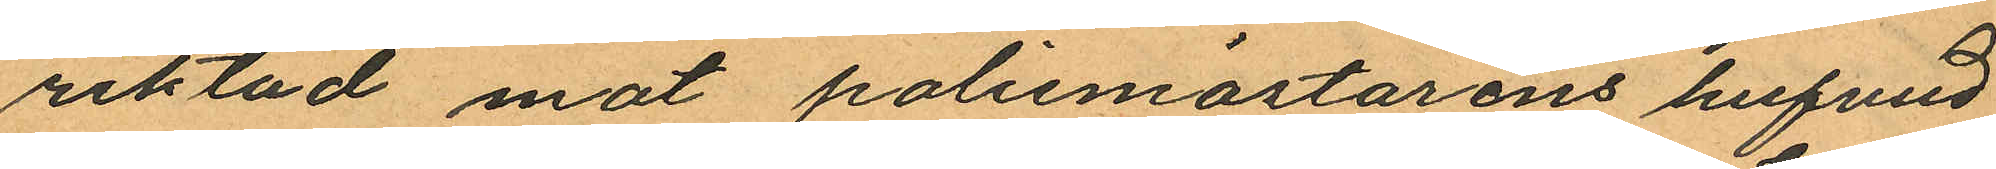riktad mot polismästarens hufvud
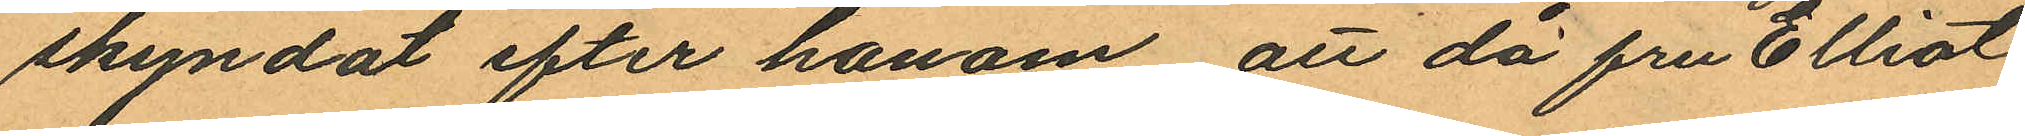skyndat efter honom att då fru Elliot
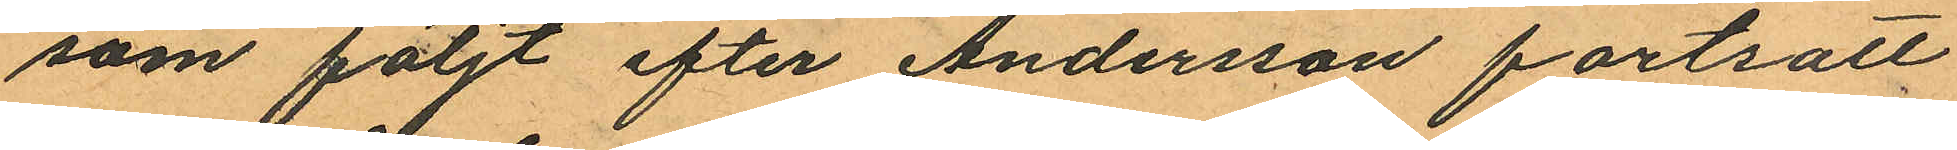som följt efter Andersson fortsatt
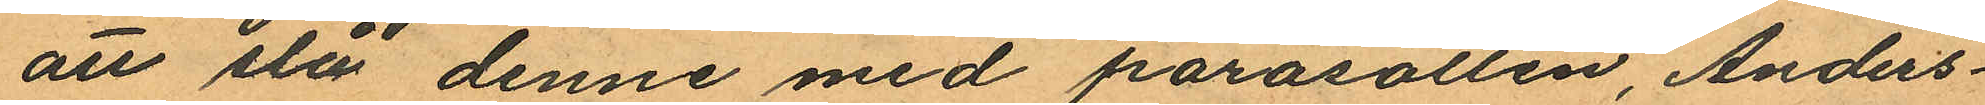att slå denne med parasollen, Anders¬
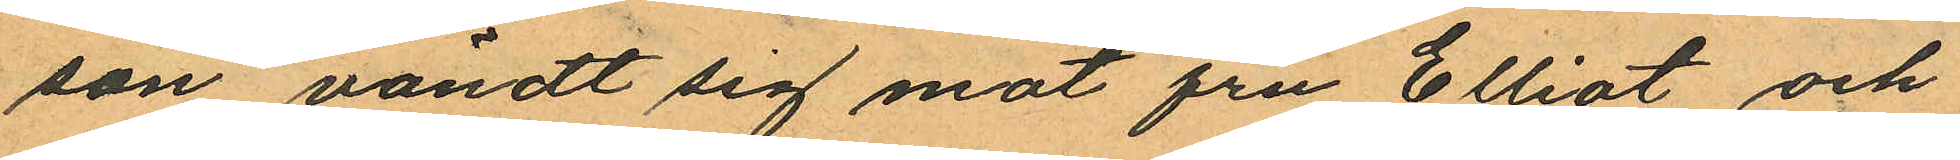son vändt sig mot fru Elliot och
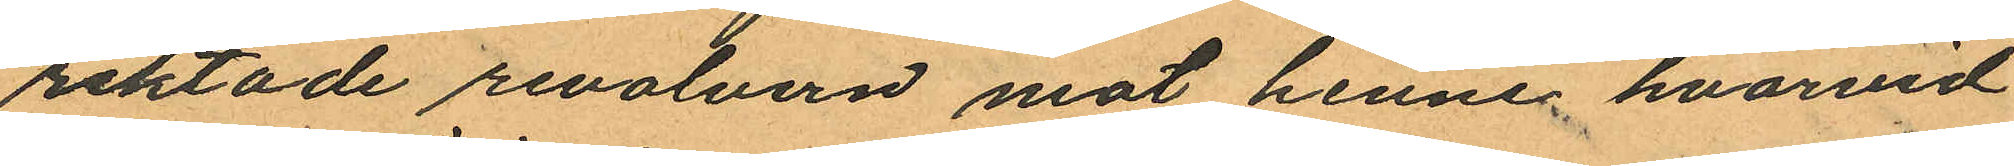riktade revolvern mot henne, hvarvid
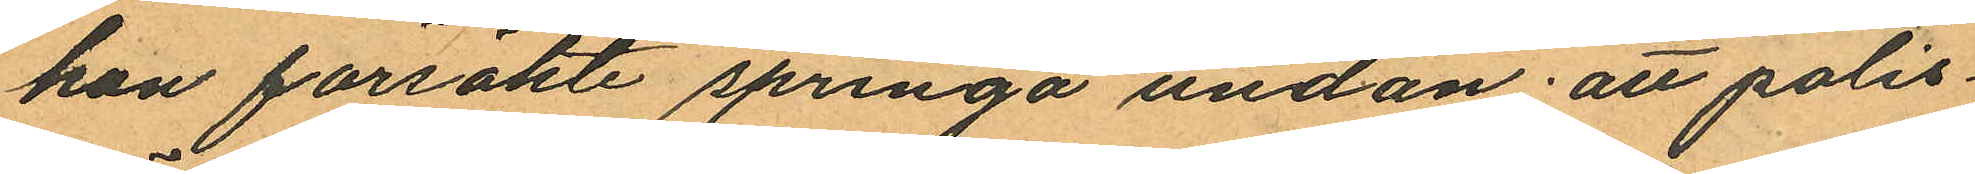hon försökte springa undan att polis¬
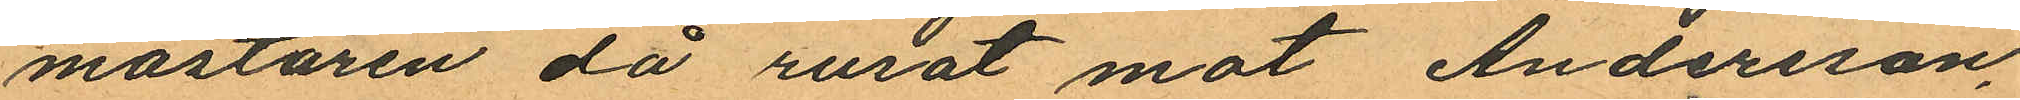mästaren då rusat mot Andersson,
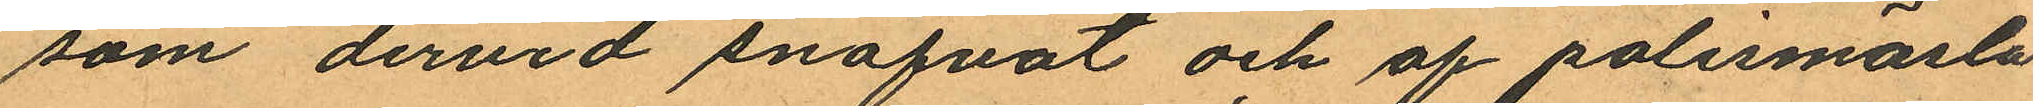som dervid snafvat och af polismäsla
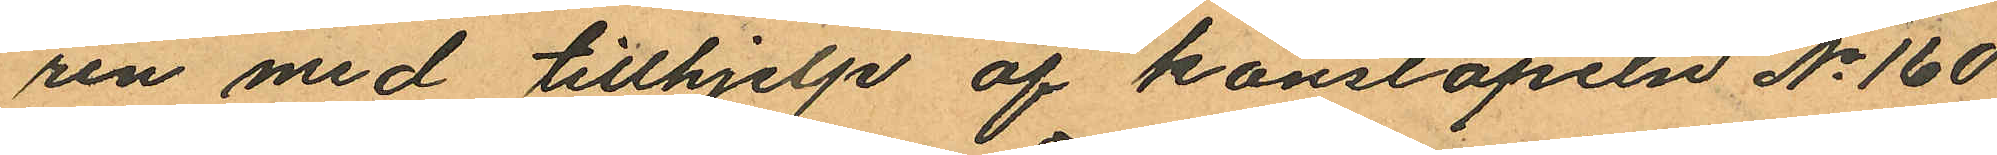ren med tillhjelp af konstapeln No 160
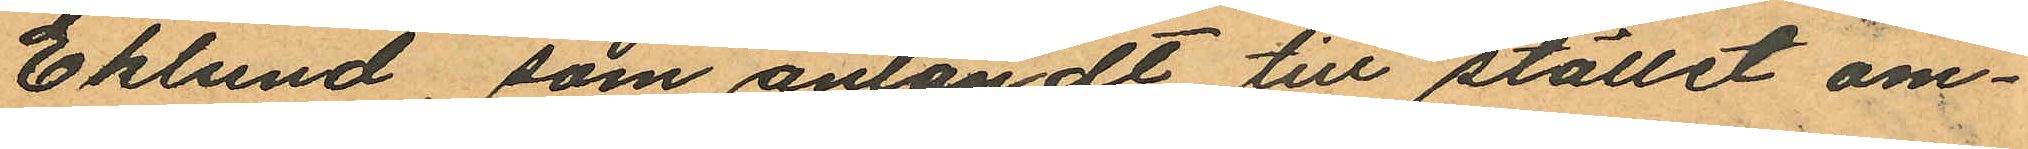Eklund, som anländt till stället om¬
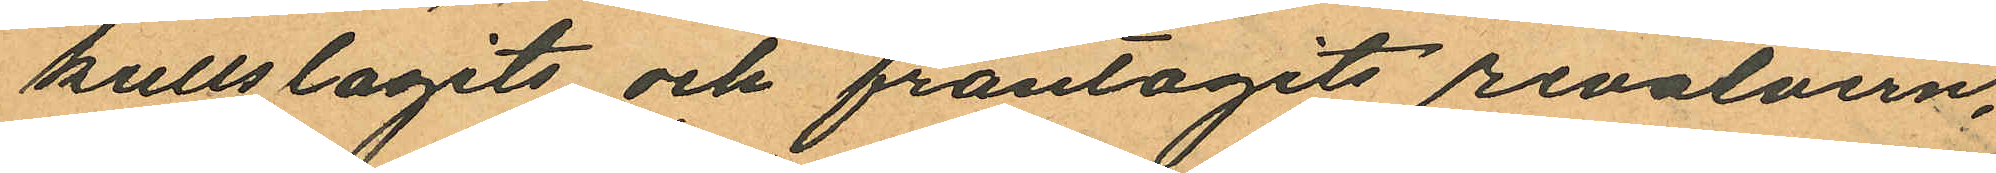kullslagits och fråntagits revolvern,
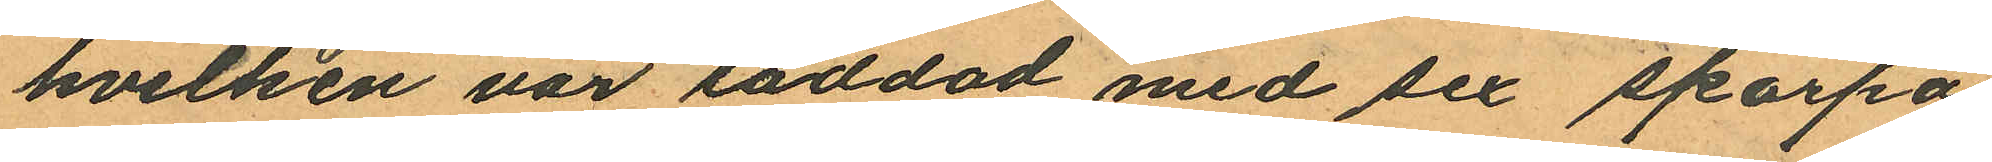hvilken var laddad med sex skarpa
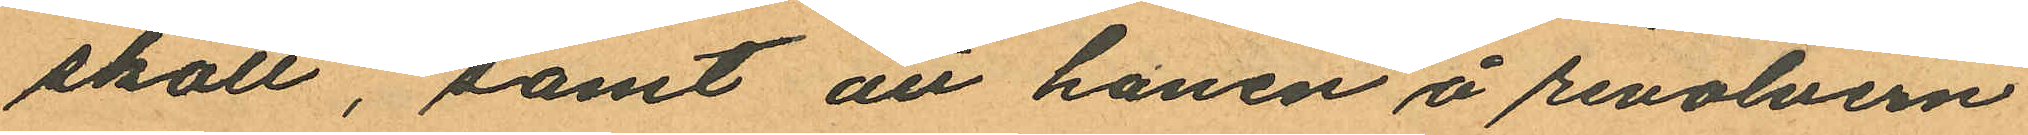skott, samt att hanen å revolvern
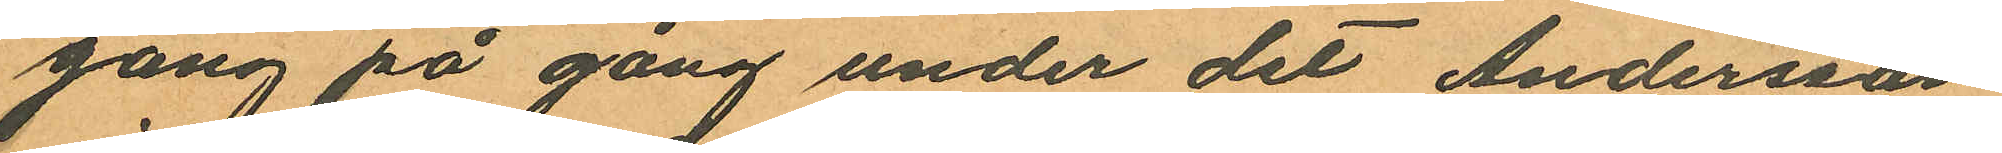gång på gång under det Andersson
